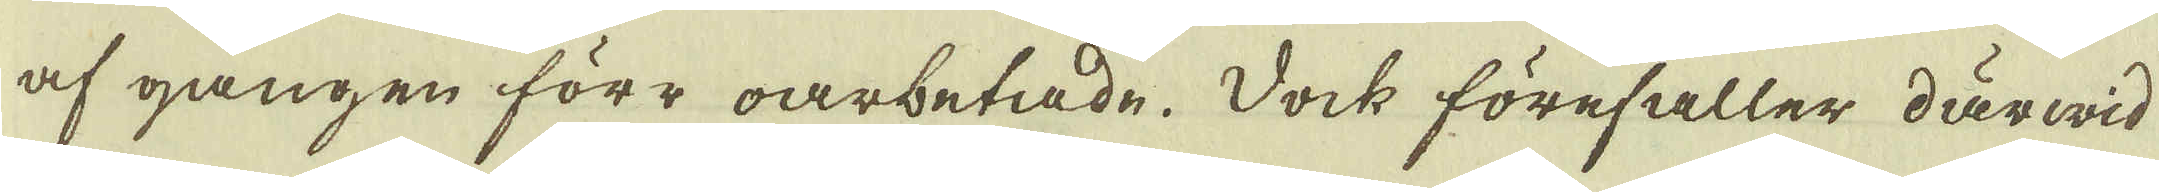af gången förr oarbetade. Dock förefaller därwid
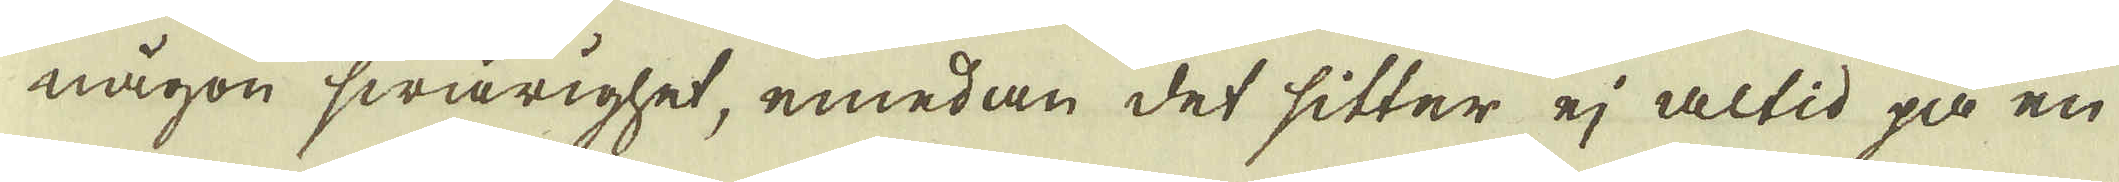någon swårighet, emedan det sitter ej altid på en
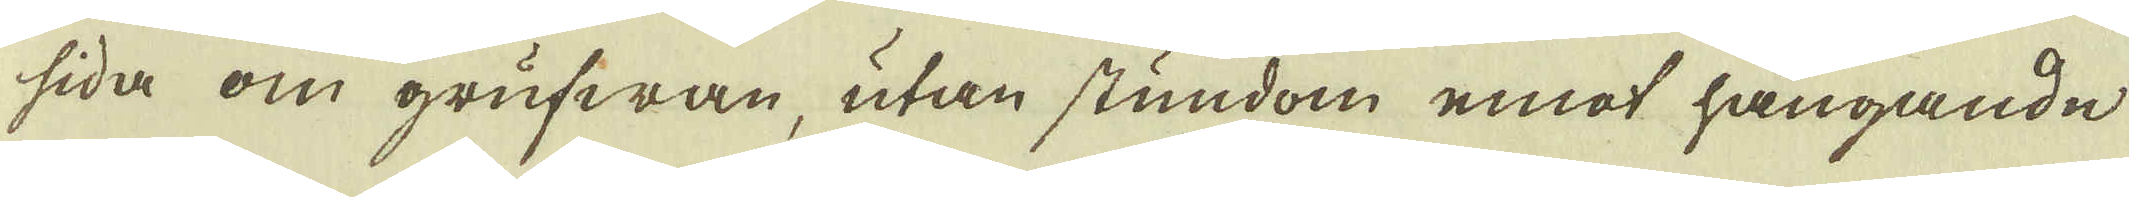sida om grufwan, utan stundom emot hängande
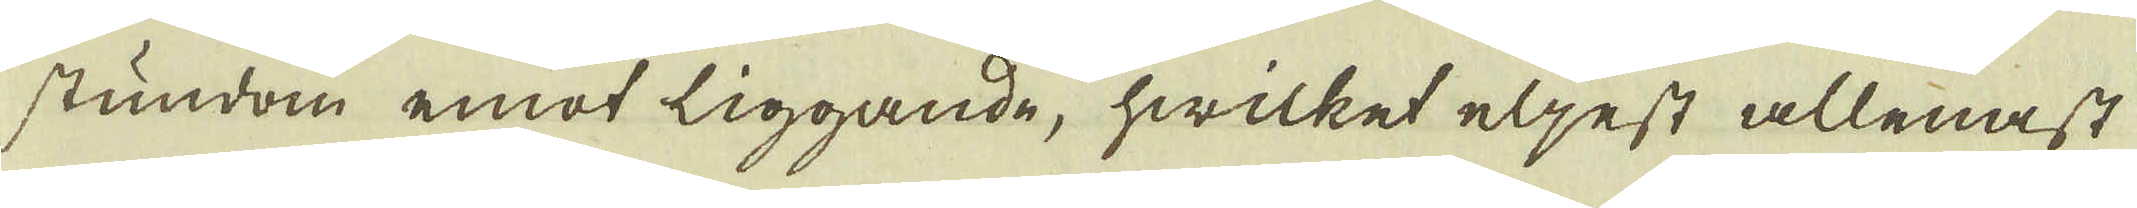stundom emot liggande, hwilket eljest allenast
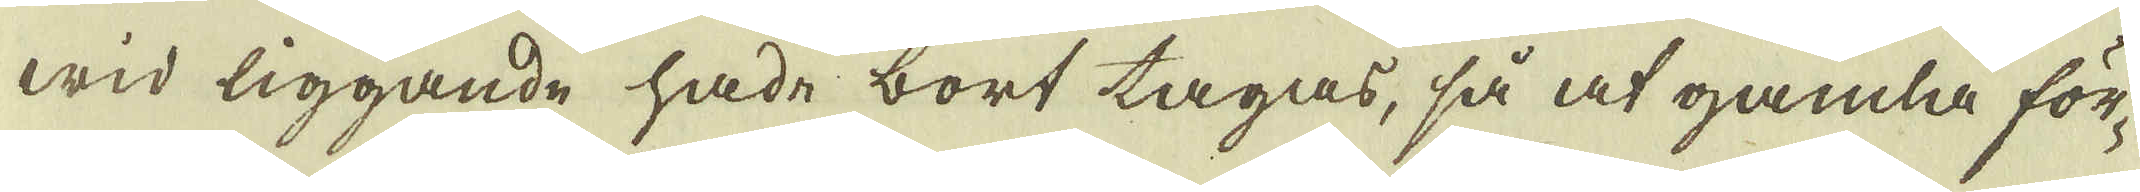wid liggande hade bort tagas, så at gamla för-
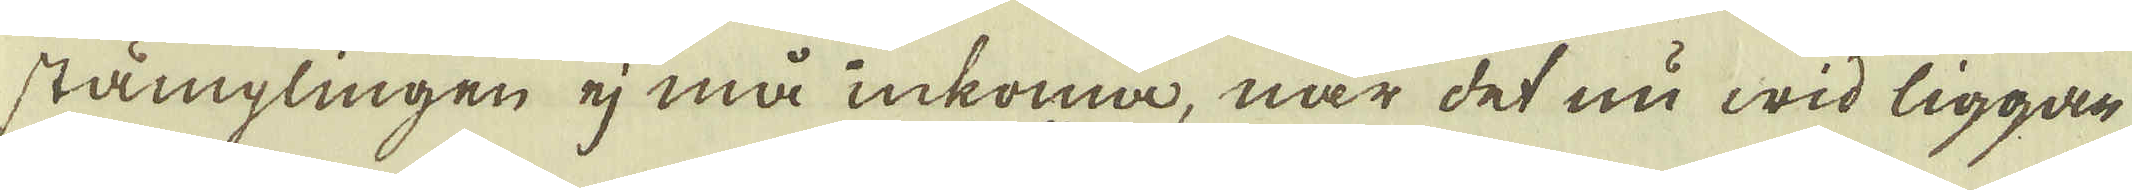stämglingen ej må inkoma, när det nu wid liggan-
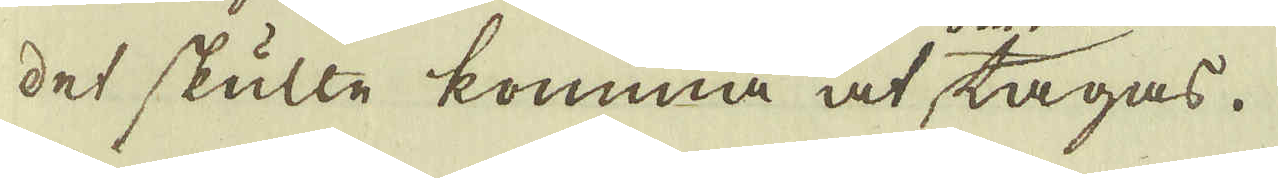det skulle komma at tagas.
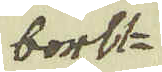bortt
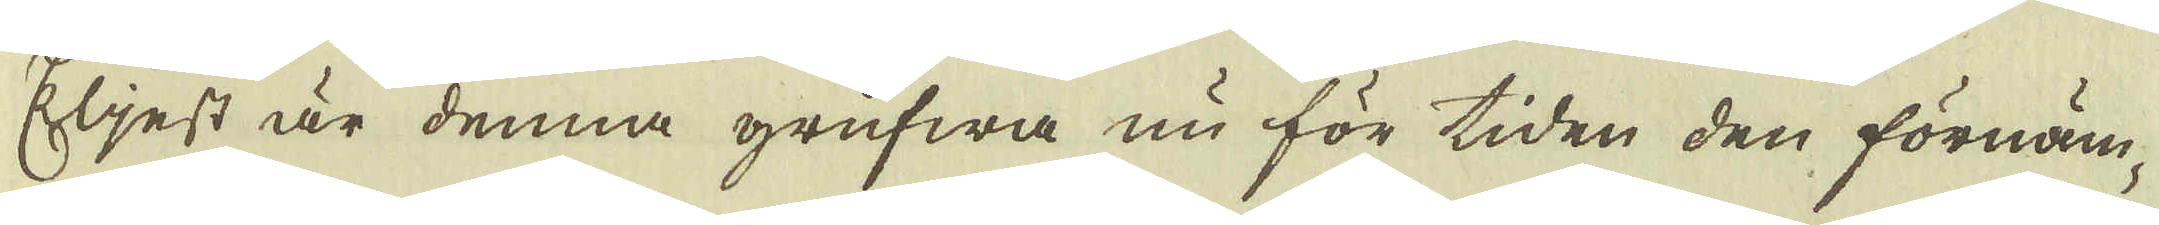Eljest är denna grufwa nu för tiden den förnäm-
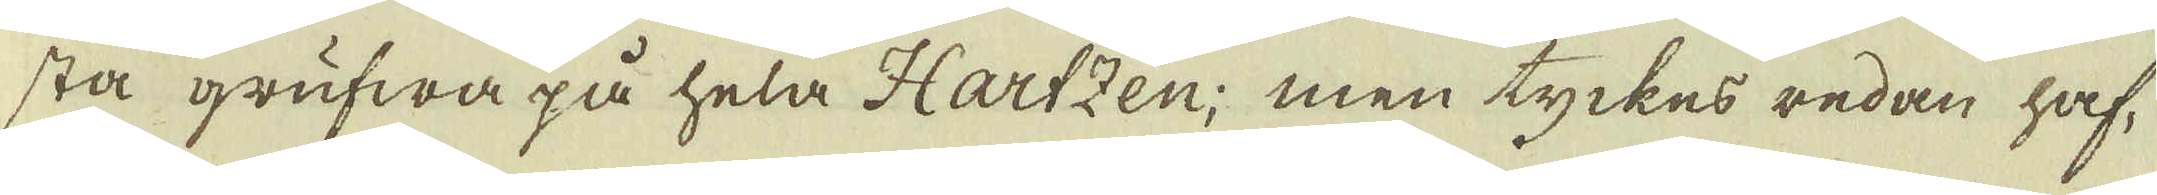sta grufwa på hela Hartzen; men tyckes redan haf-
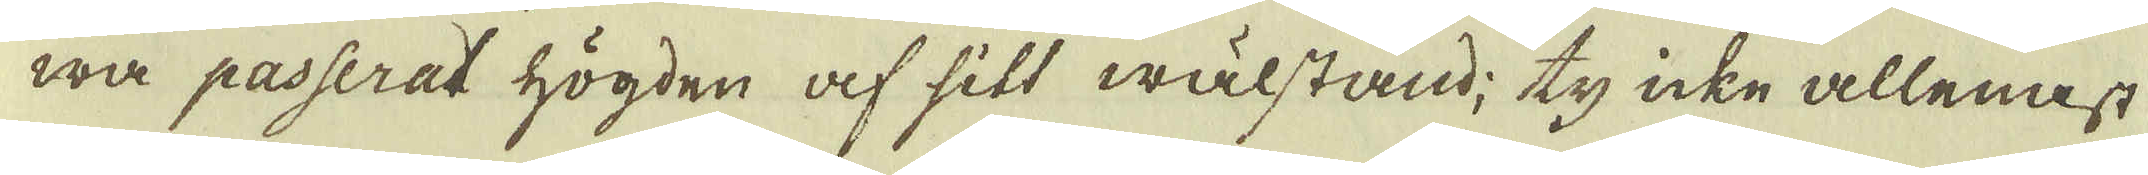wa passerat högden af sitt wälstand; ty icke allenast
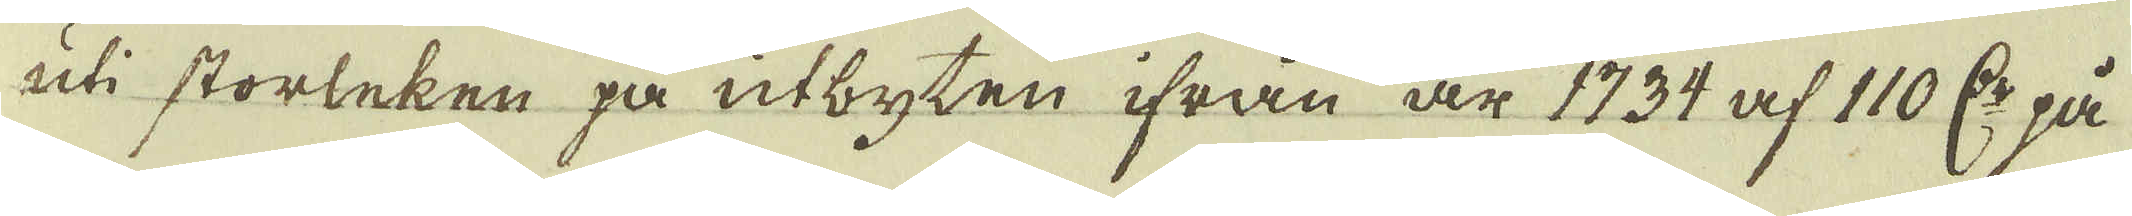uti storleken på utbyten ifrån är 1734 af 110 C:r på
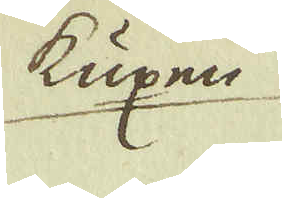kuxen
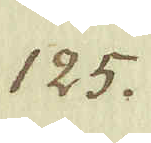125.
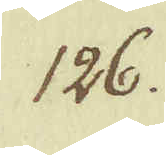126.
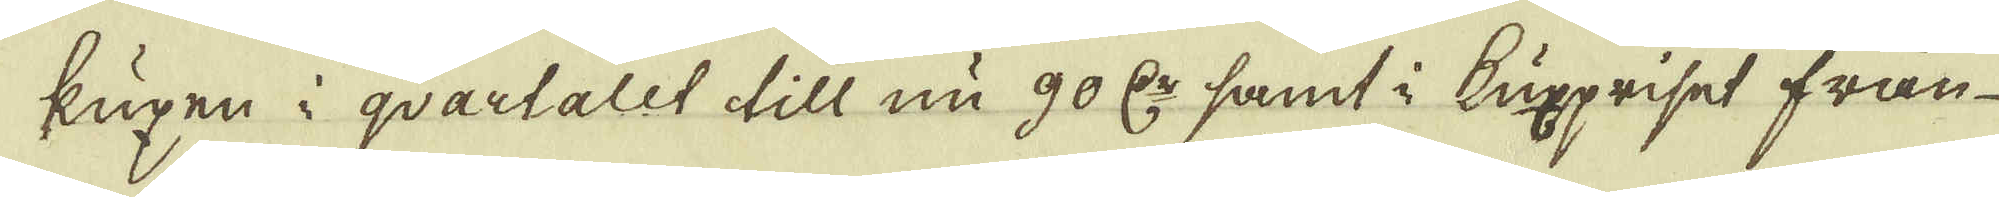kuxen i qvartalet till nu 90 R:dr samt i Kuxpriset från
